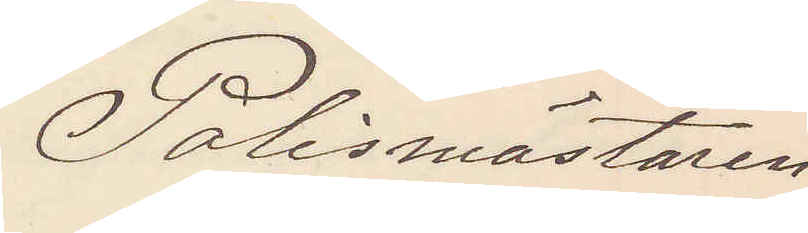Polismästaren
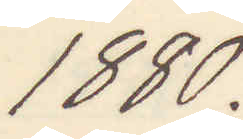1880.
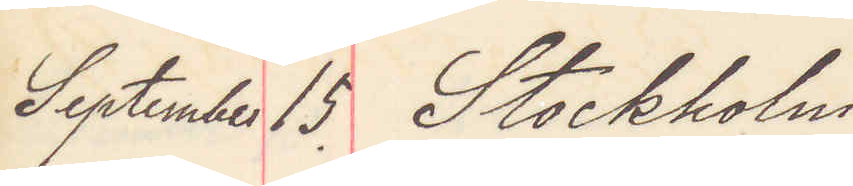September 15. Stockholm
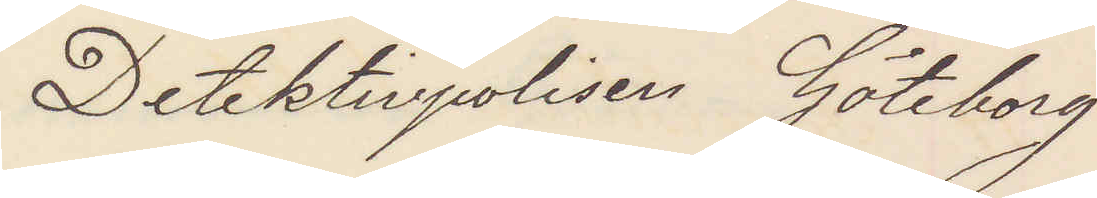Detektivpolisen Göteborg
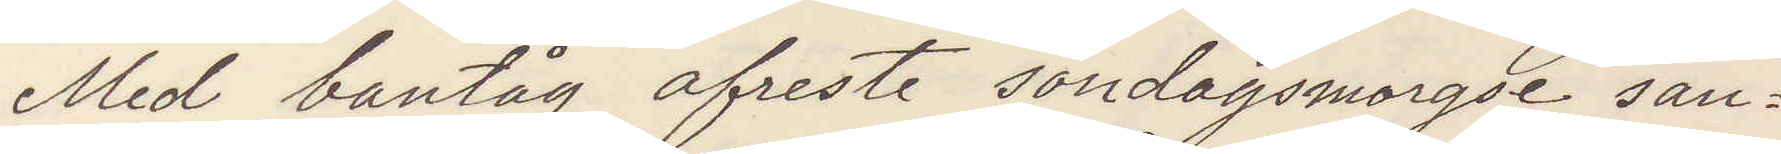Med bantåg afreste söndagsmorgse san¬
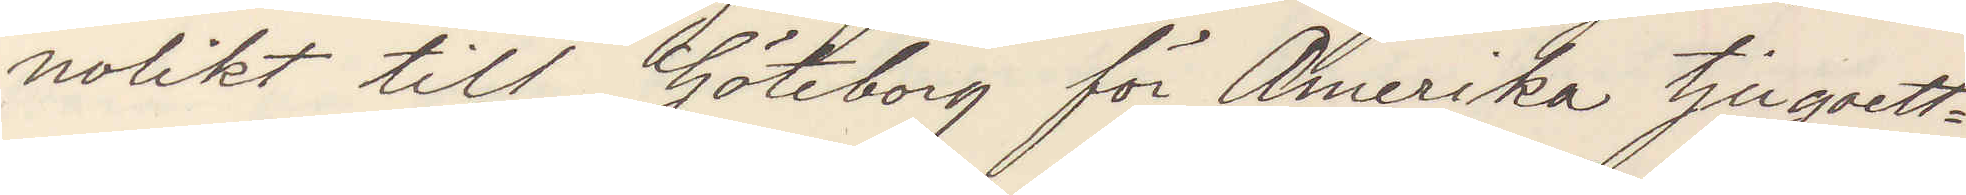nolikt till Göteborg för Amerika tjugoett¬
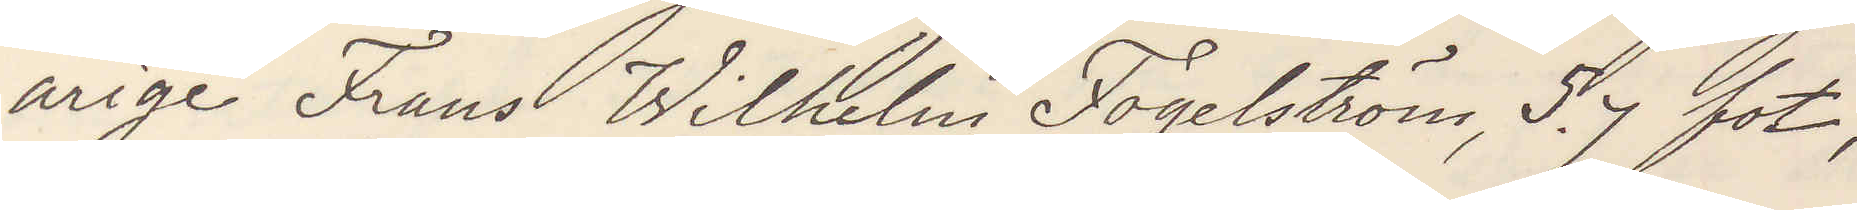arige Frans Wilhelm Fogelström, 5,7 fot,
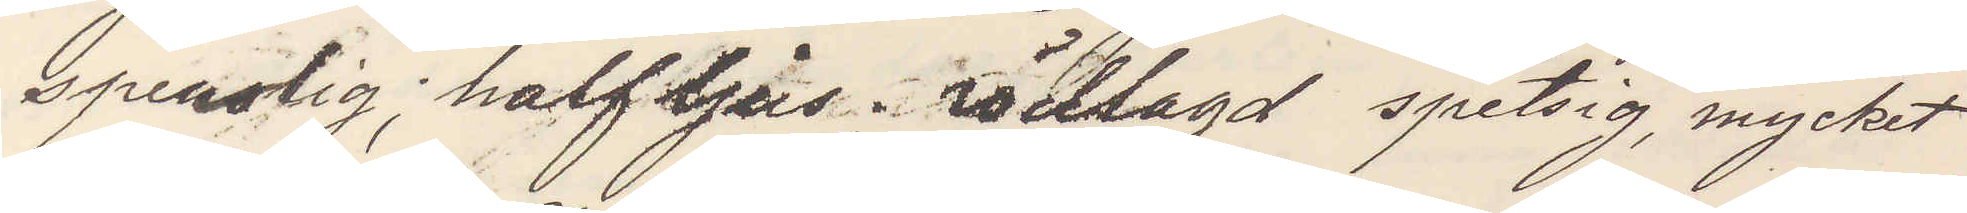spenslig, halfljus, rödlagd spetsig, mycket
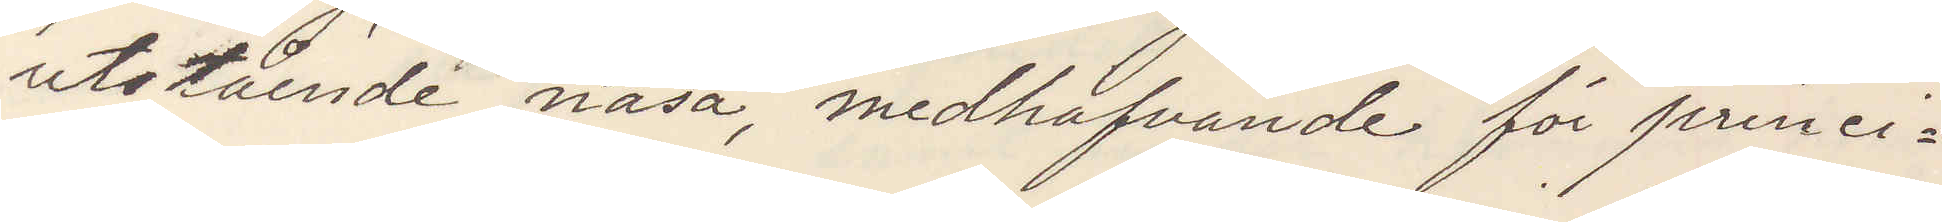utstående näsa, medhafvande för princi¬
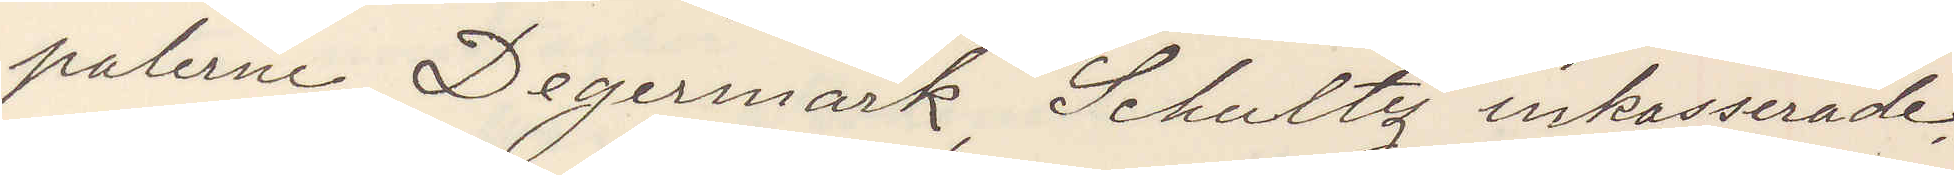palerne Degermark, Schultz inkasserade
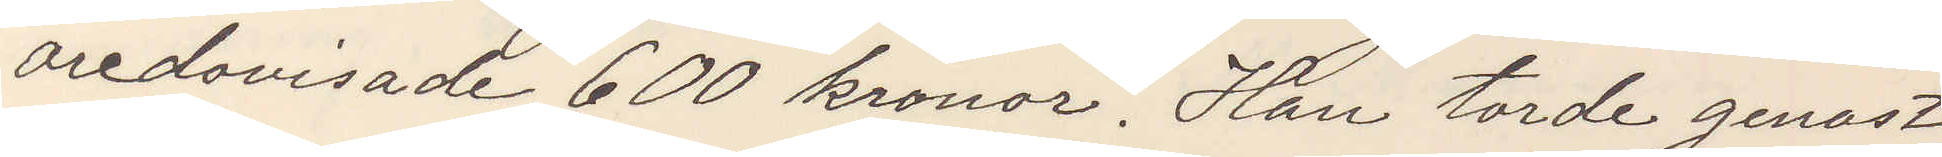oredovisade 600 kronor. Han torde genast
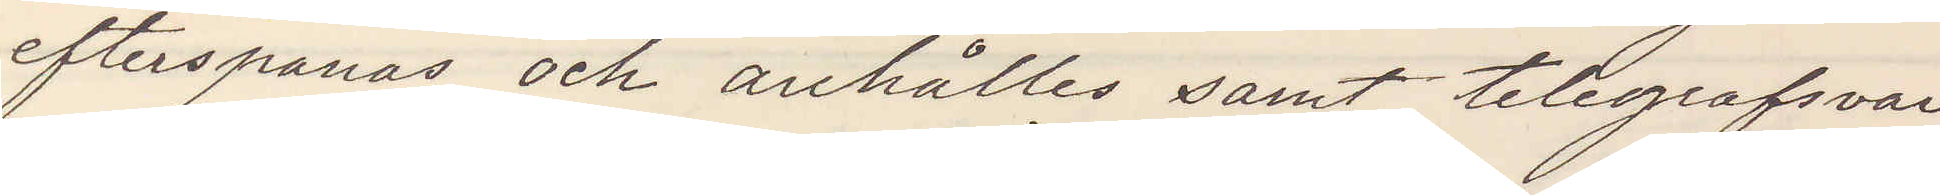efterspanas och anhållas samt telegrafsvar
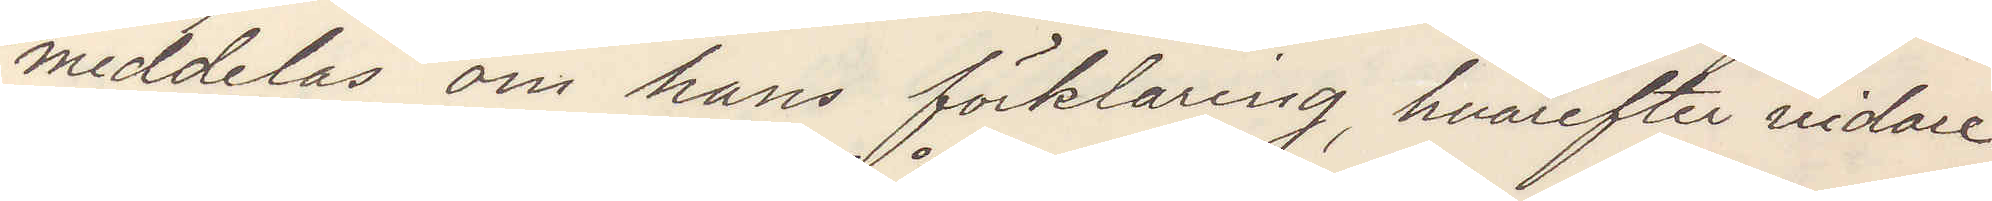meddelas om hans förklaring hvarefter vidare
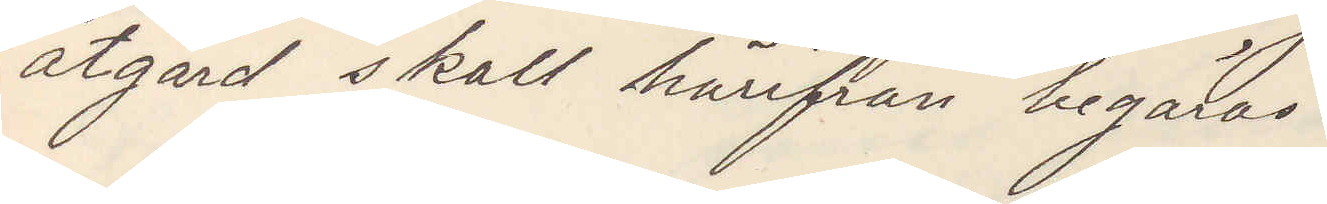åtgärd skall härifrån begäras.
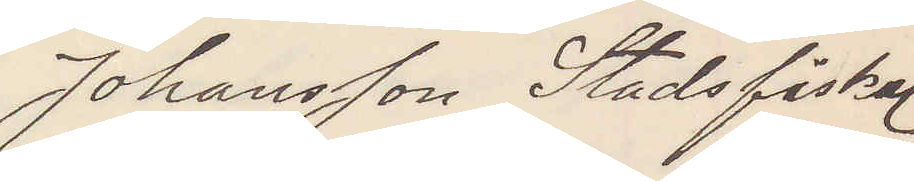Johansson Stadsfiskal
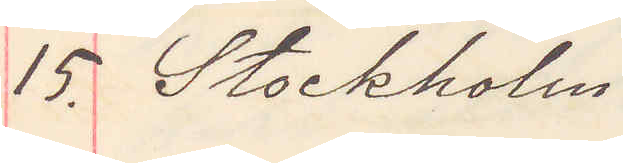15. Stockholm
